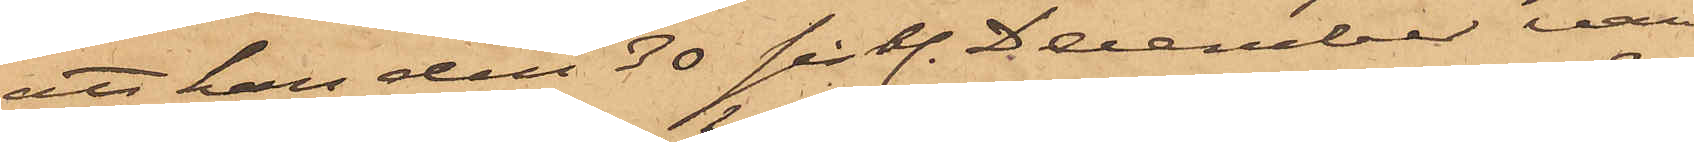att han den 30 sistl. December, var
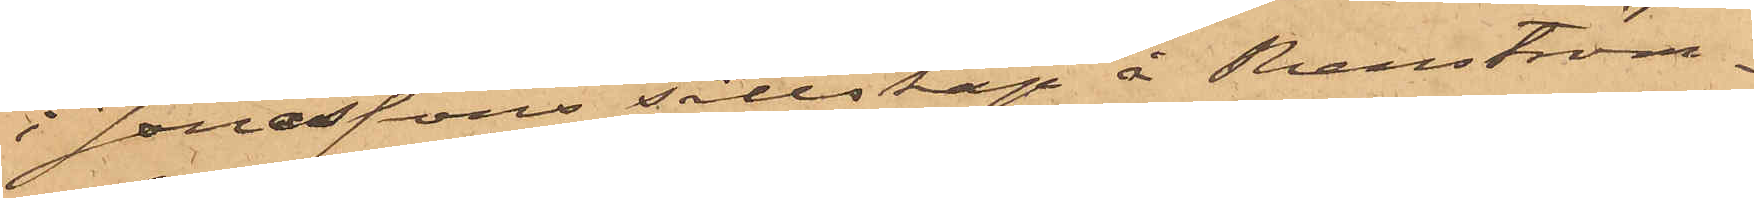i Jonassons sällskap å Renström¬
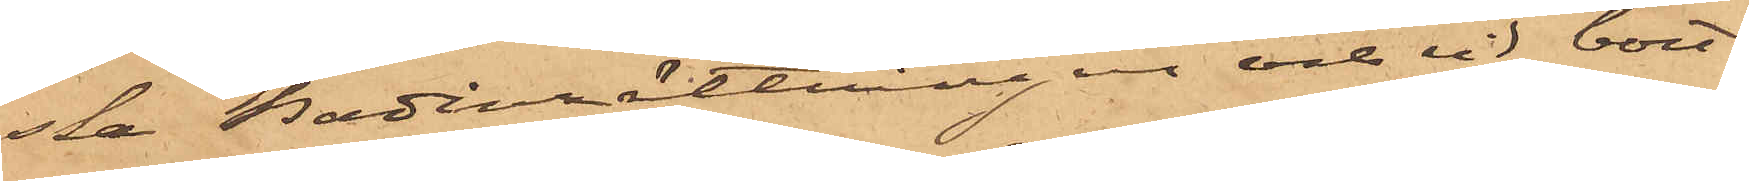ska badinrättningen och vid bort¬
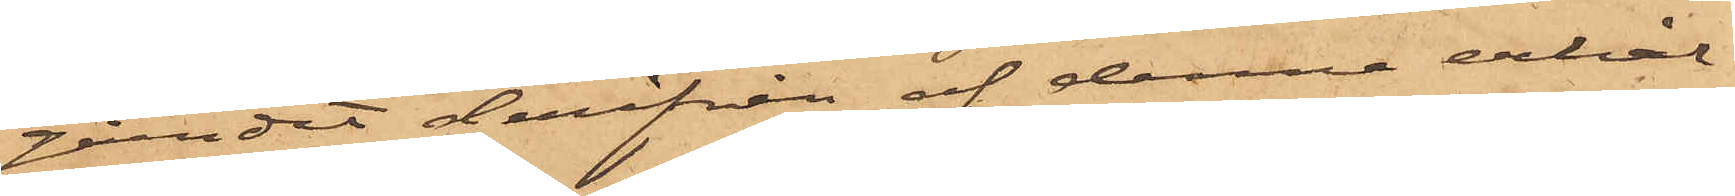gåendet derifrån af denna erhål¬
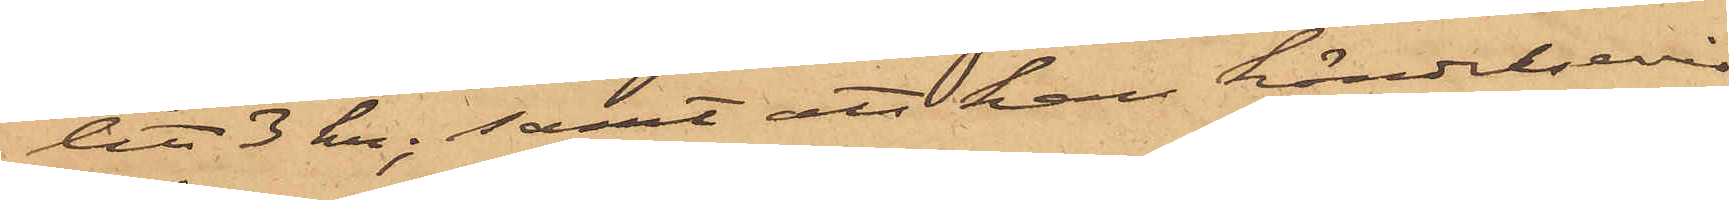lit 3 kr; samt att han händelsevis
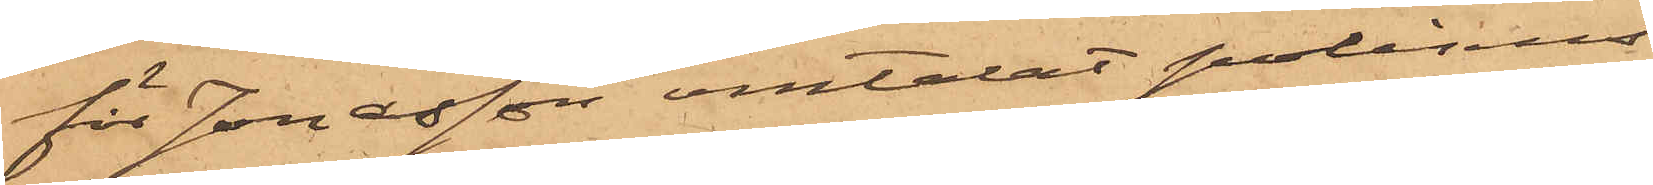för Jonasson omtalat polisens
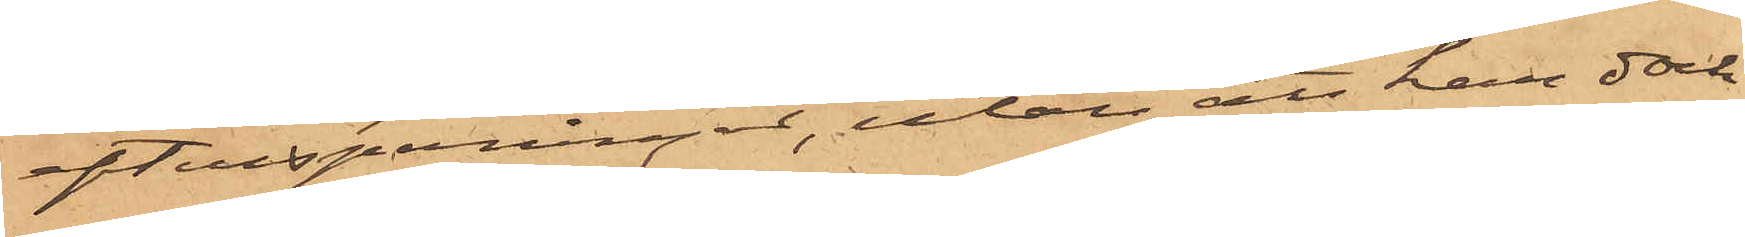efterspaningar, utan att han dock
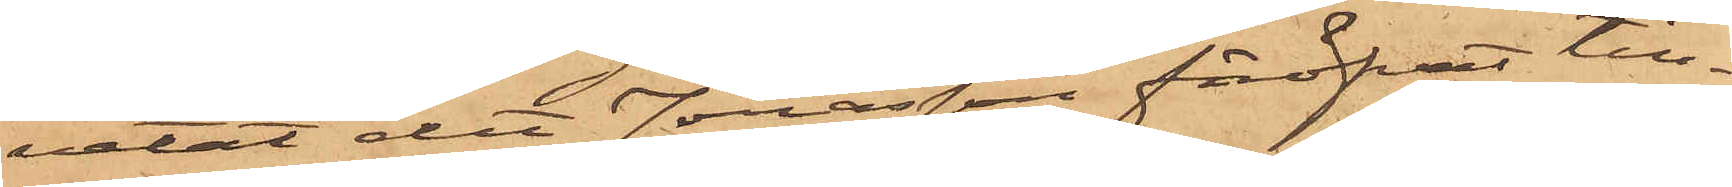vetat att Jonasson föröfvat till¬
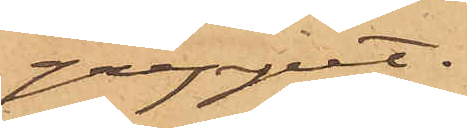greppet.
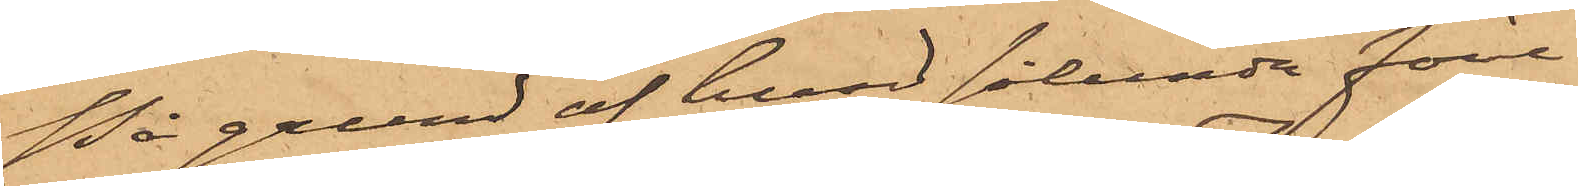På grund af hvad sålunda före¬
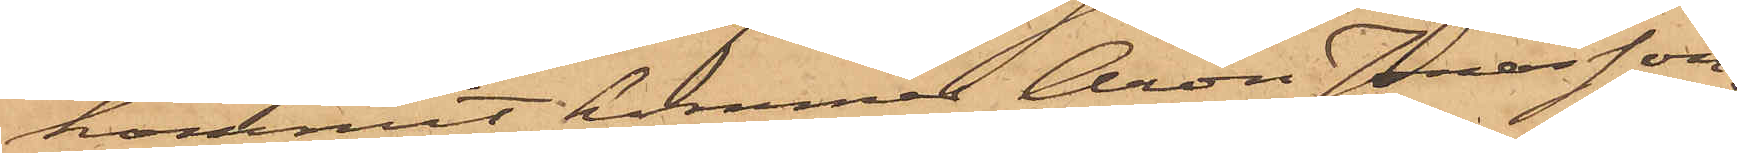kommit, kommer Aron Jonasson,
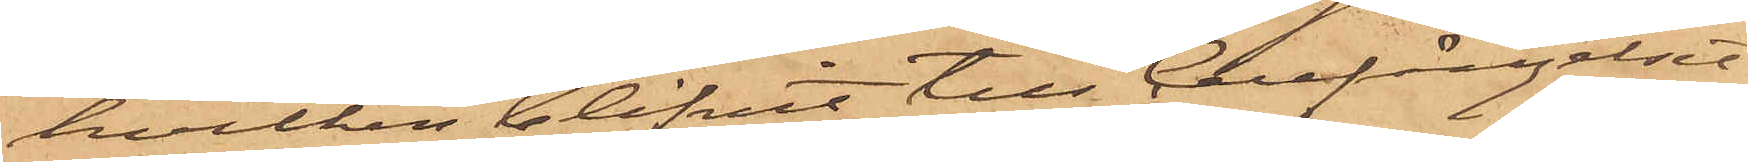hvilken blifvit till Cellfängelset
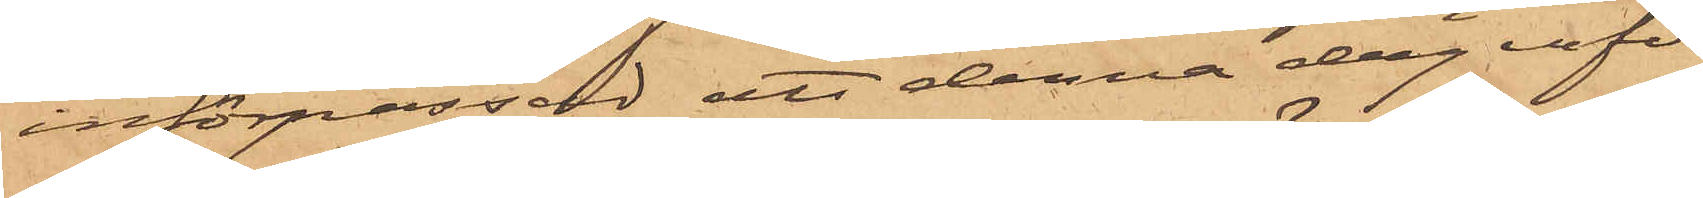införpassad, att denna dag inför¬
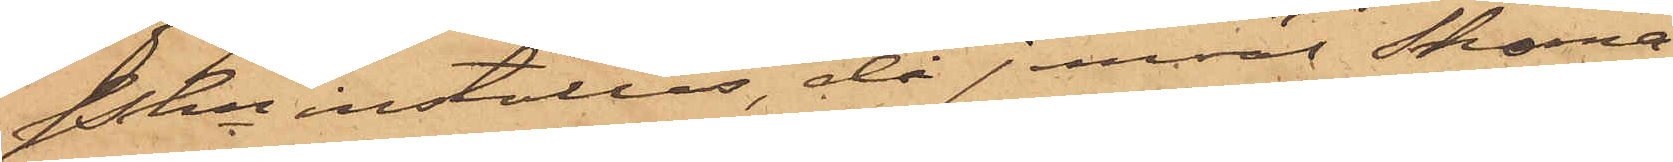Pkm inställas, då jemväl Skoma¬
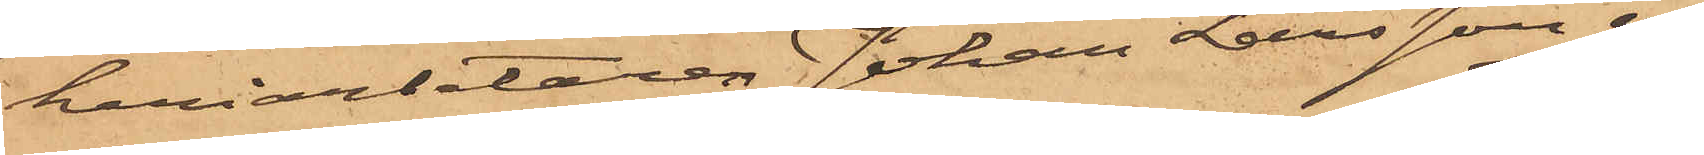keriarbetaren Johan Larsson är
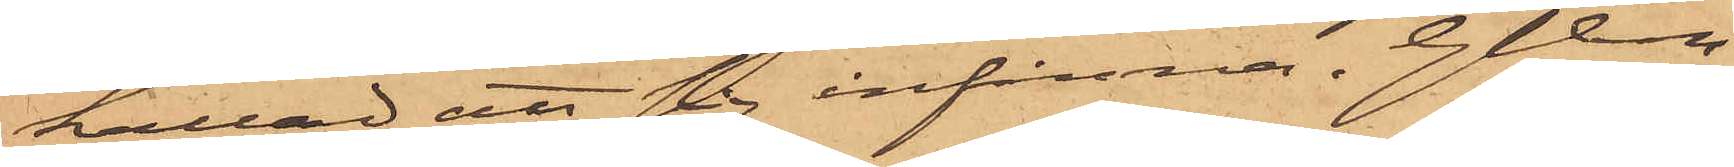kallad att sig infinna. Gtbr
